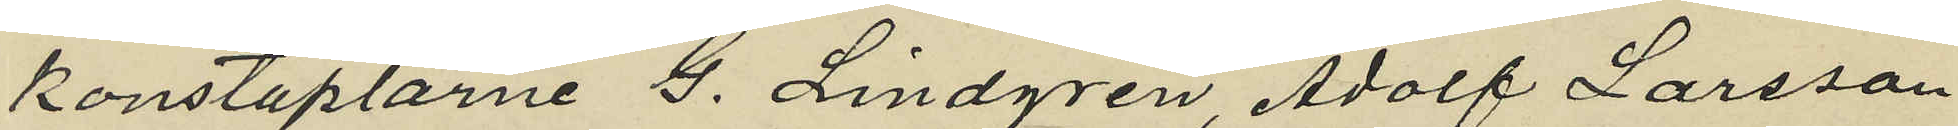konstaplarne G. Lindgren, Adolf Larsson
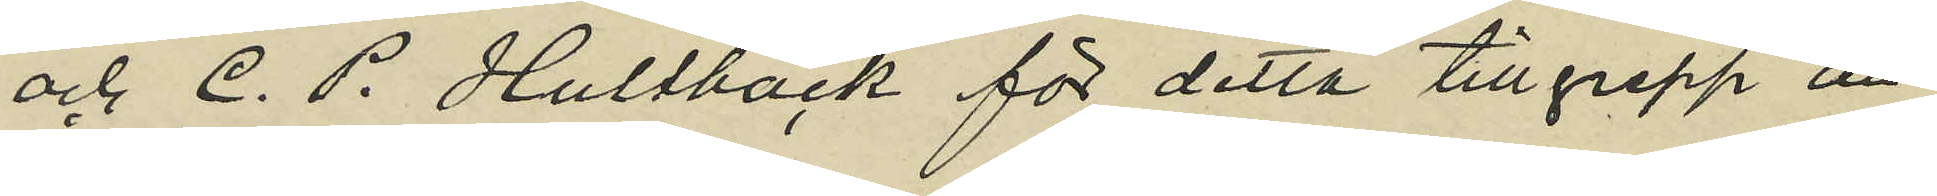och C. P. Hultbäck för detta tillgrepp an¬
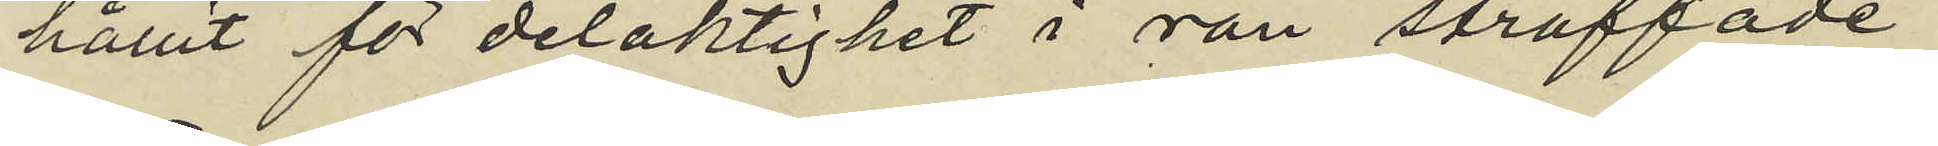hållit för delaktighet i rån straffade
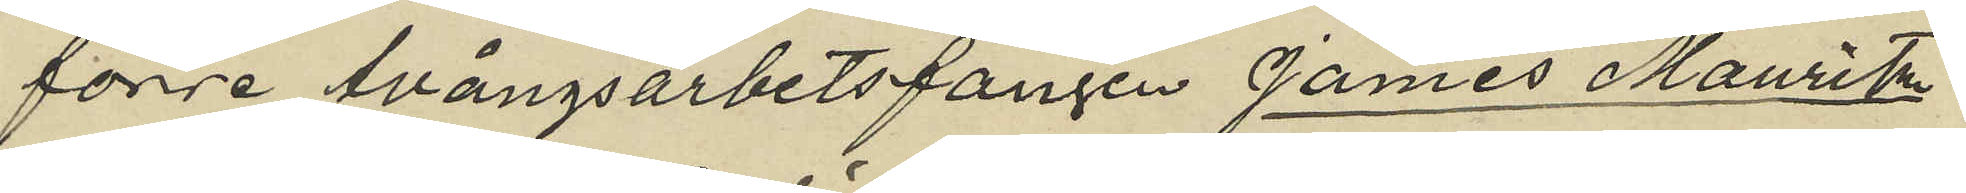förre tvångsarbetsfången James Mauritz
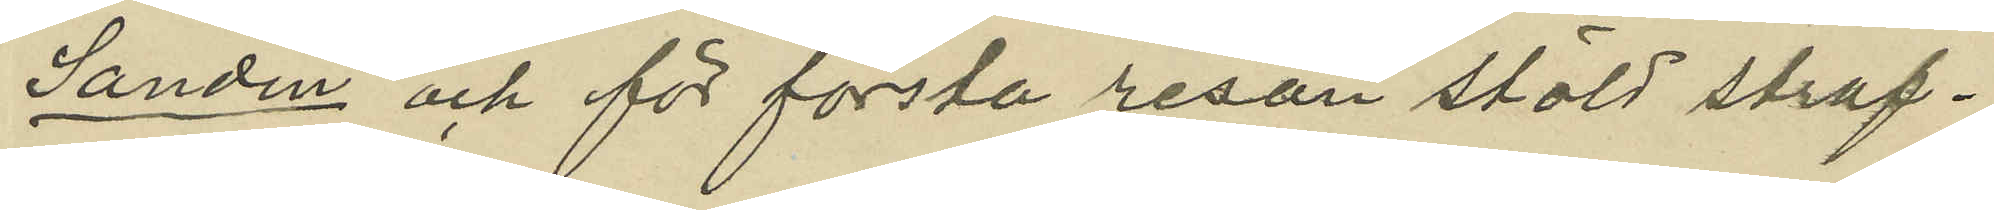Sandin och för första resan stöld straf¬
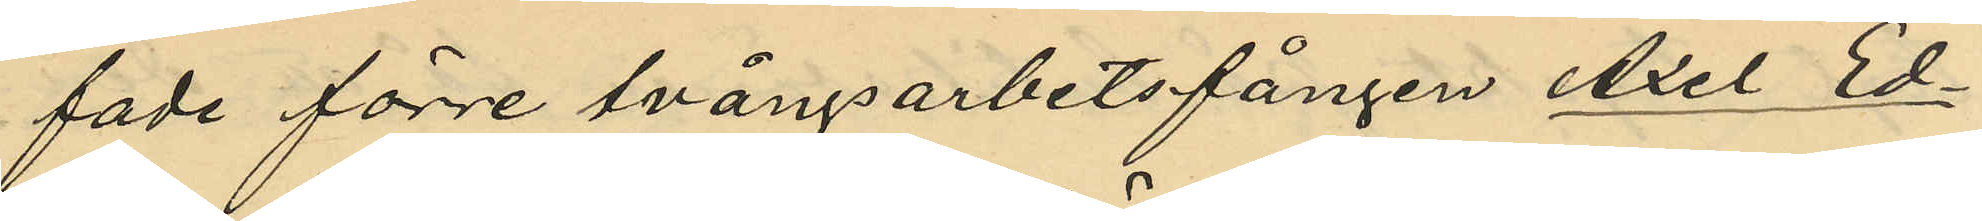fade förre tvångsarbetsfången Axel Ed¬
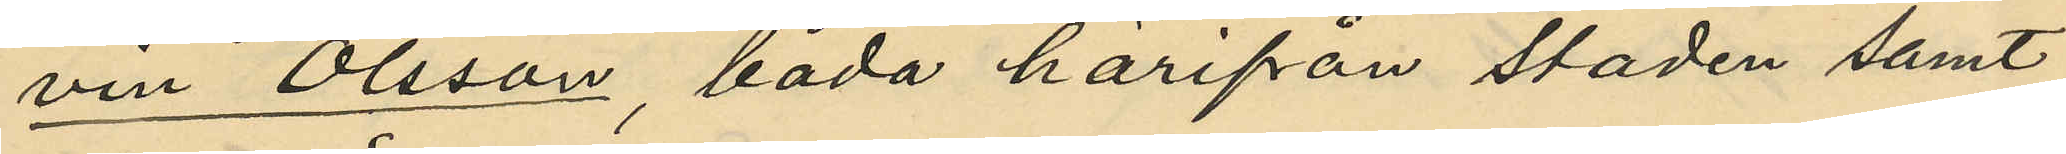vin Olsson, båda härifrån staden samt
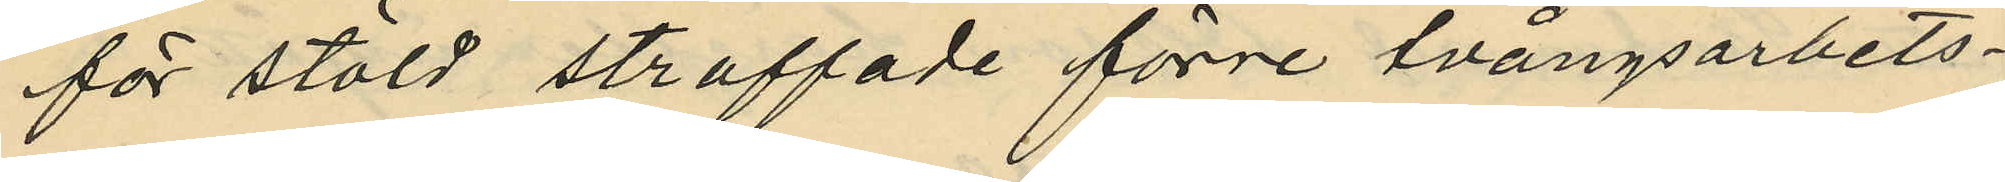för stöld straffade förre tvångsarbets¬
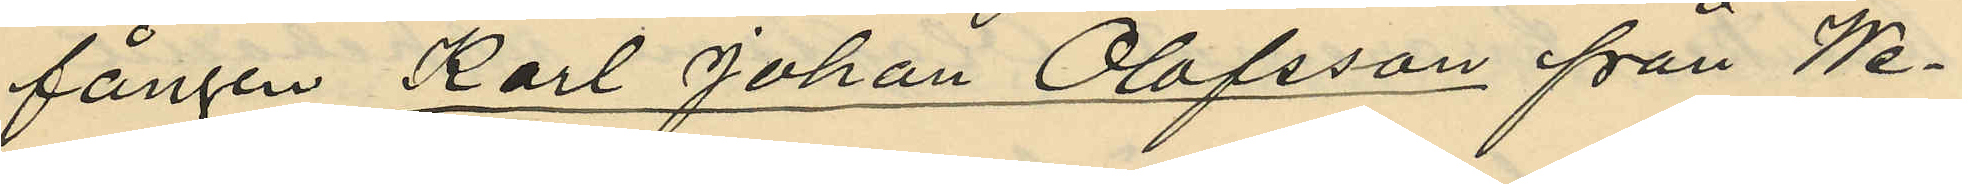fången Karl Johan Olofsson från We¬
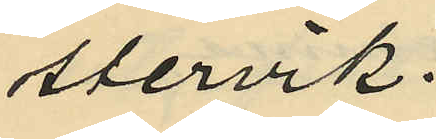stervik.
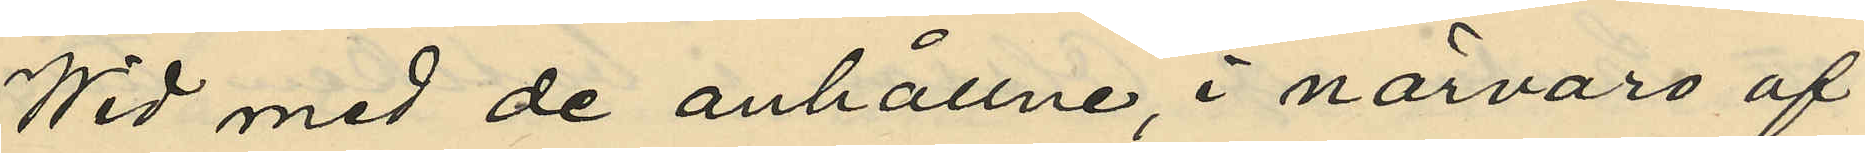Wid med de anhållne, i närvaro af
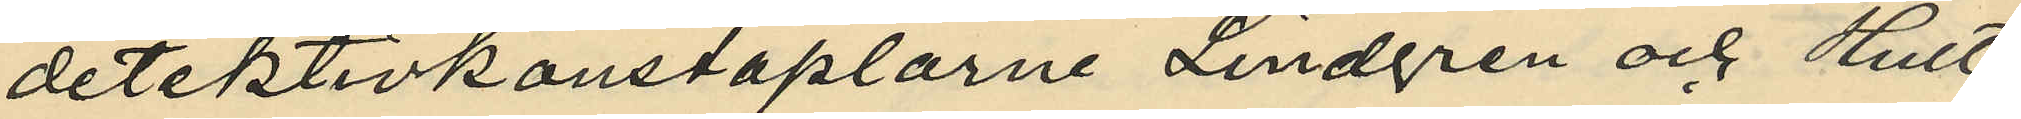detektivkonstaplarne Lindgren och Hult¬
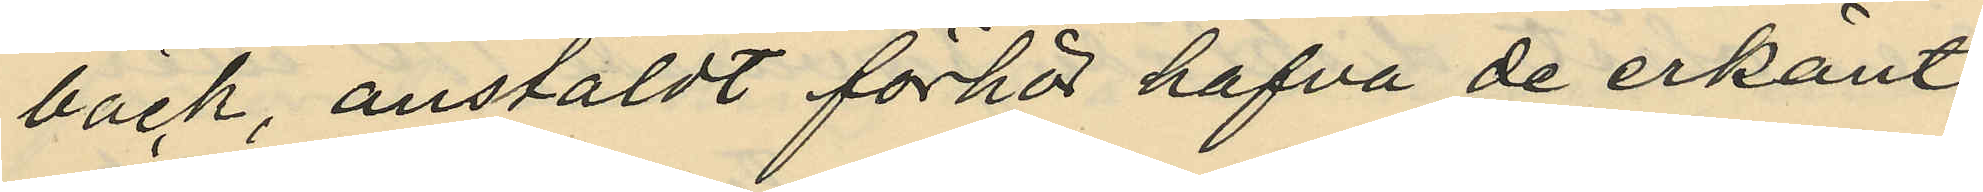bäck, anstäldt förhör hafva de erkänt
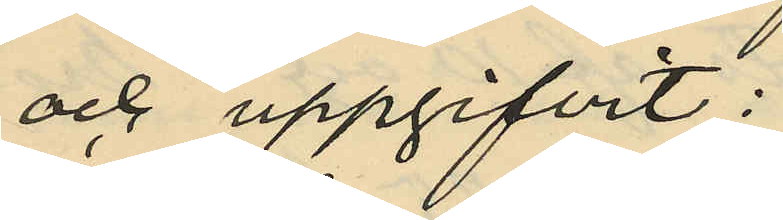och uppgifvit:
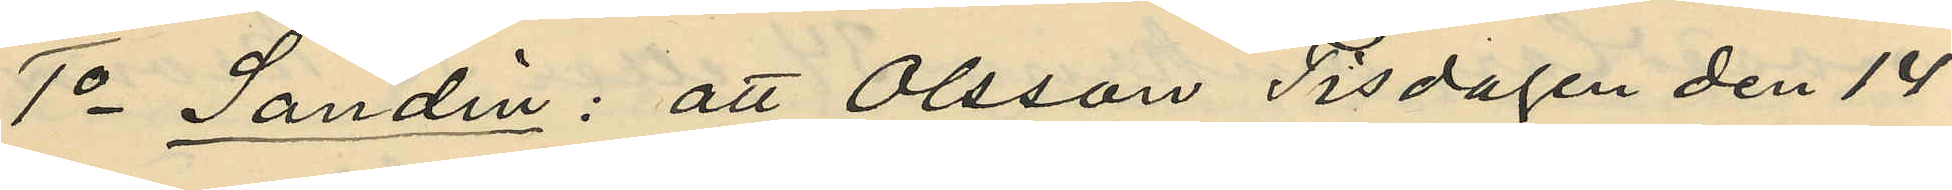1o Sandin: att Olsson Tisdagen den 14
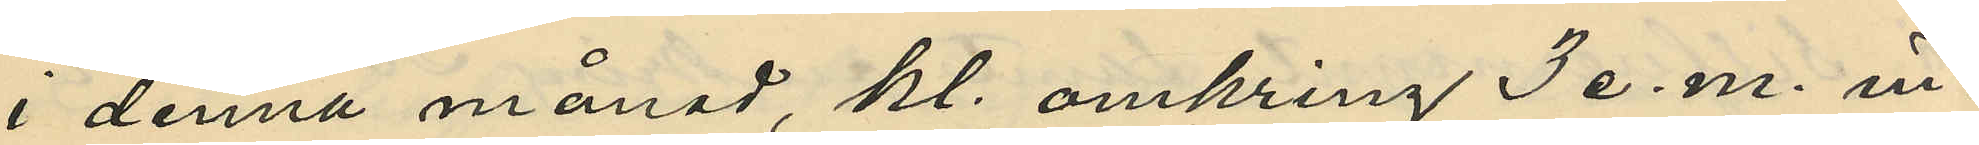i denna månad, kl. omkring 3 e. m. in¬
